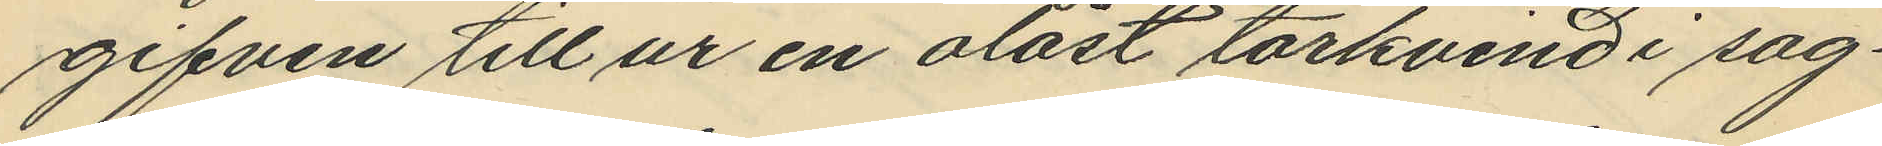gifven till ur en olåst torkvind i sag¬
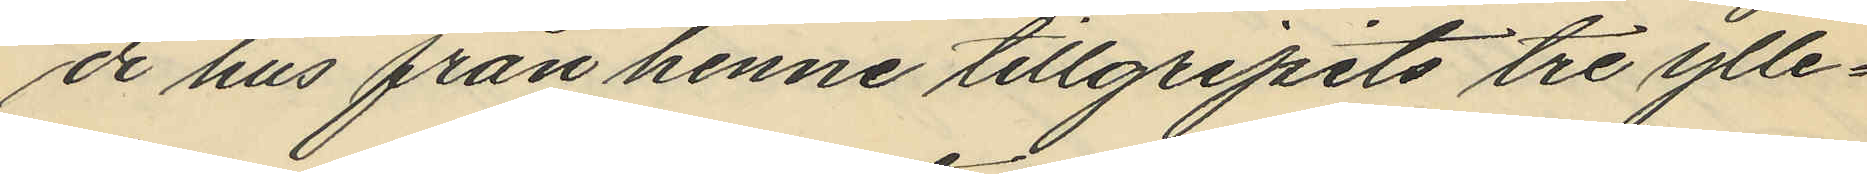de hus från henne tillgripits tre ylle¬
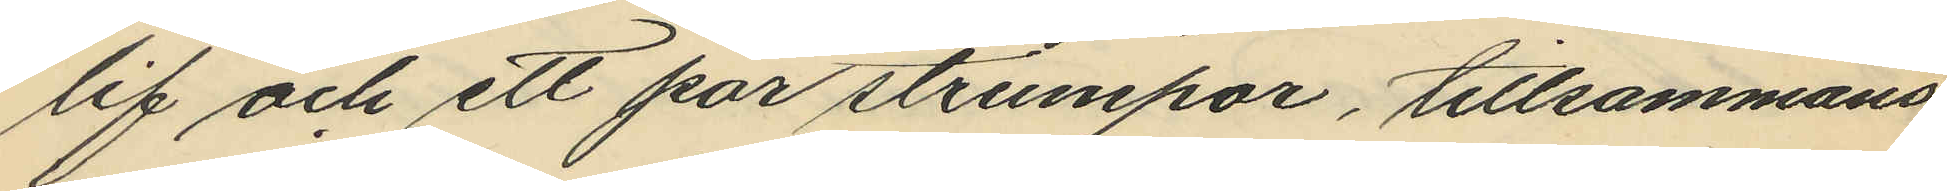lif och ett par strumpor, tillsammans
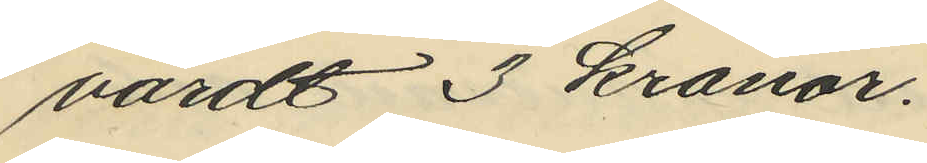värdt 3 kronor.
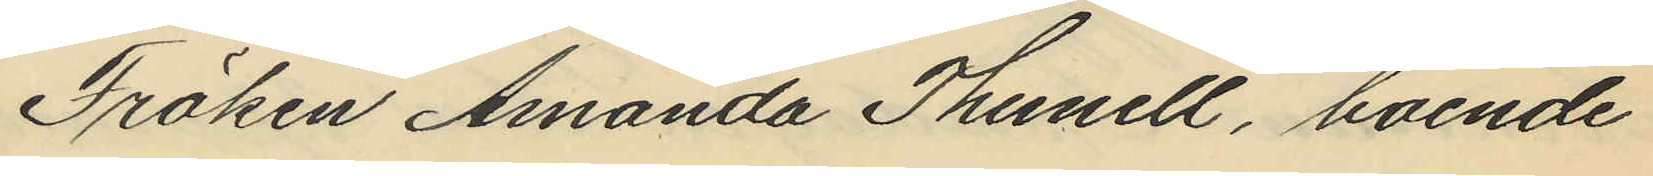Fröken Amanda Thunell, boende
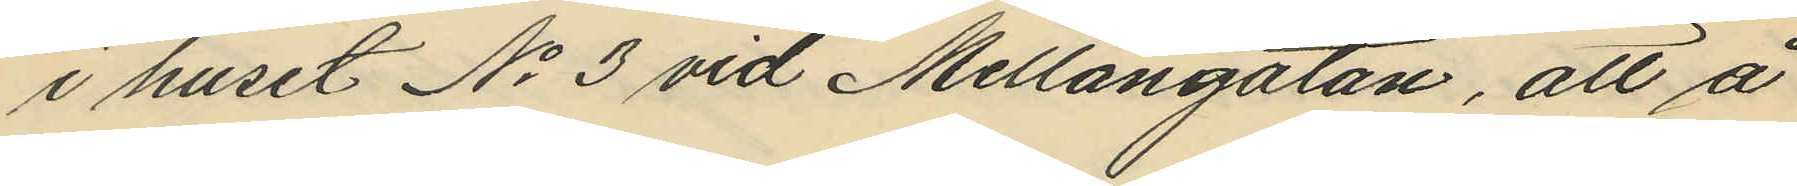i huset No 3 vid Mellangatan, att å
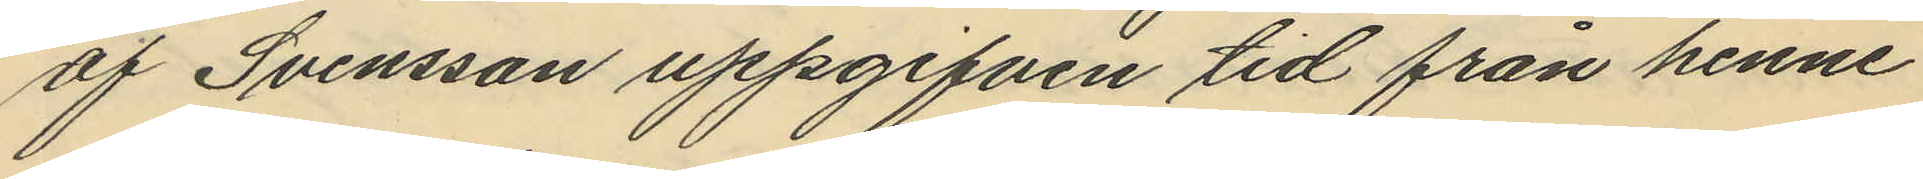af Svensson uppgifven tid från henne
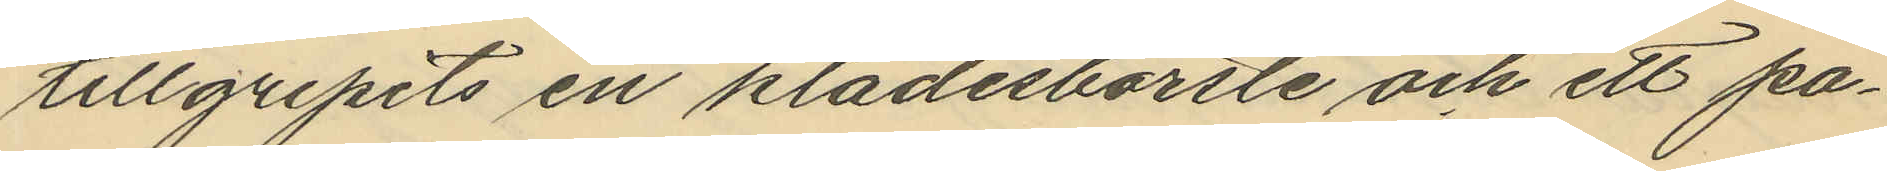tillgripits en klädesborste och ett pa¬
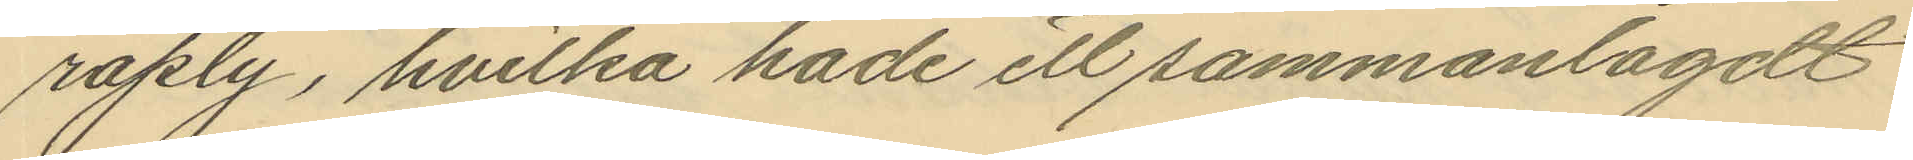raply, hvilka hade ett sammanlagdt
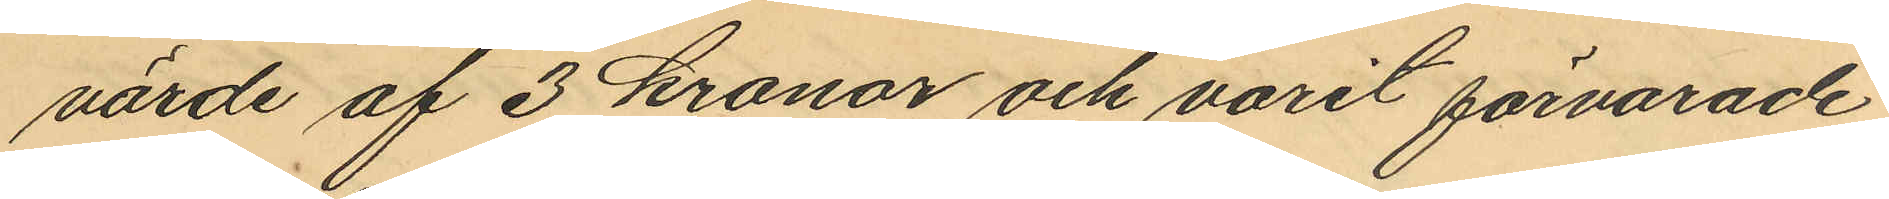värde af 3 kronor och varit förvarade
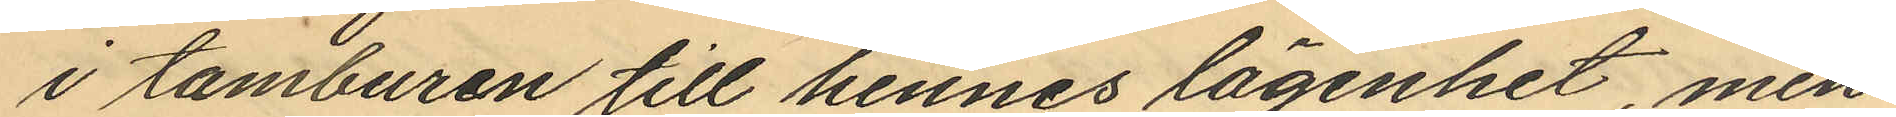i tamburen till hennes lägenhet, men
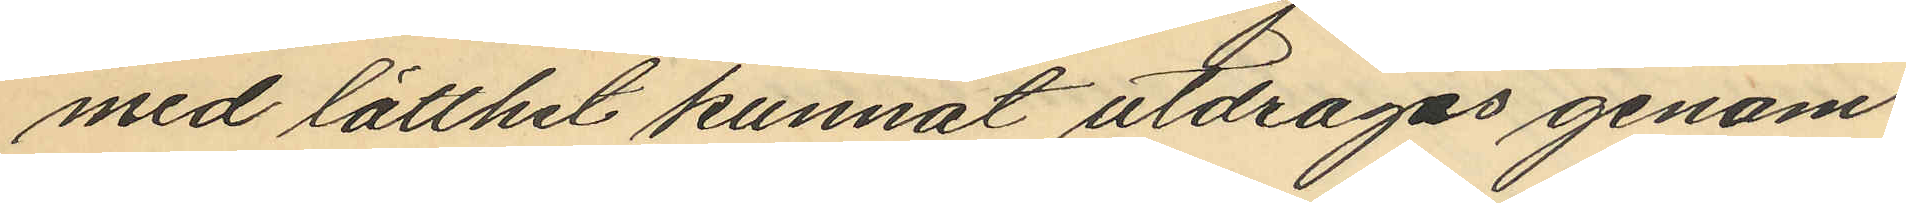med lätthet kunnat utdragas genom
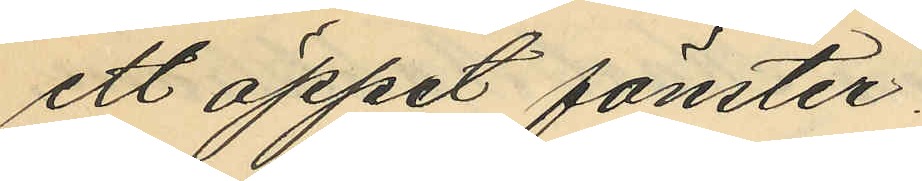ett öppet fönster.
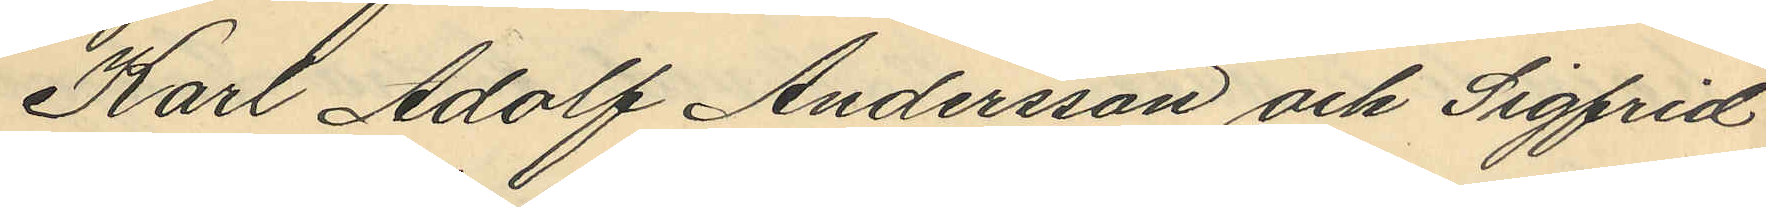Karl Adolf Andersson och Sigfrid
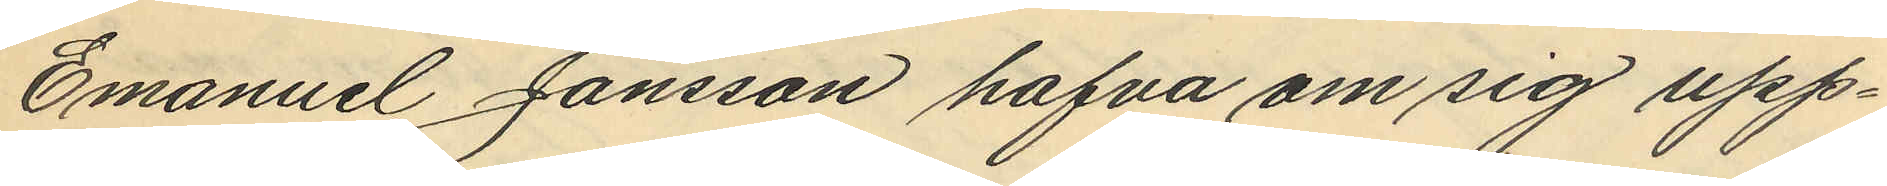Emanuel Jansson hafva om sig upp¬
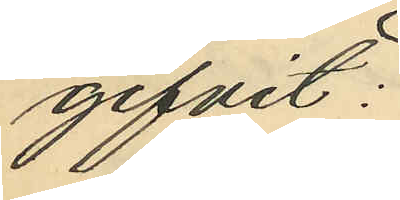gifvit:
